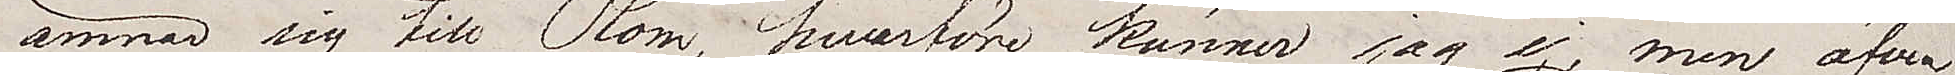ämnar sig till Rom, hvarföre känner jag ej, men äfven
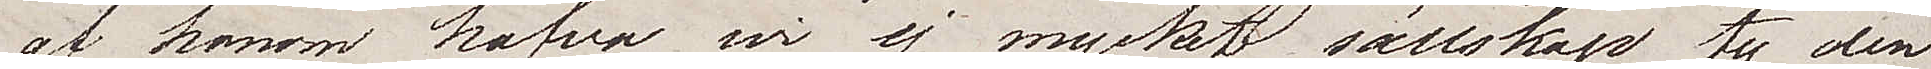af honom hafva wi ej mycket sällskap ty den
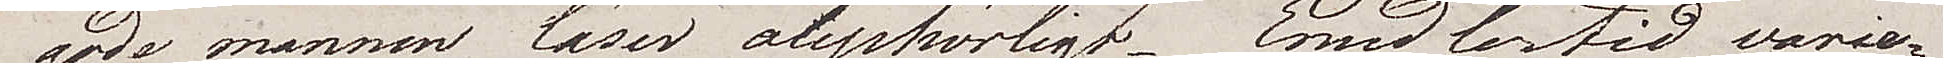gode mannen läser ouphörligt. Emedlertid varie¬
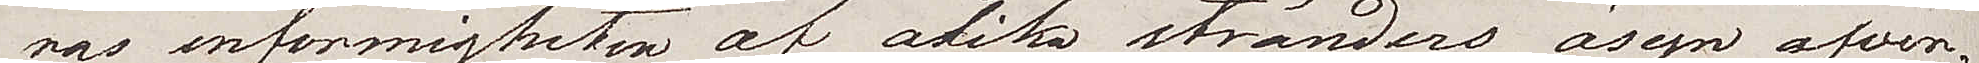ras enformigheten af olika stränders åsyn äfven¬
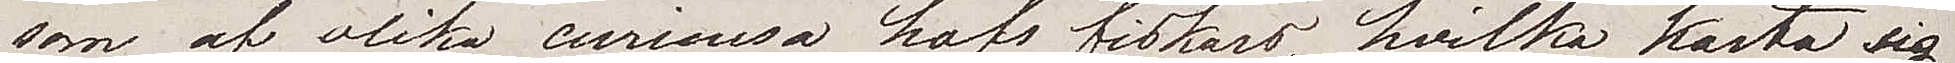som af olika curieusa hafsfiskars, hvilka kasta sig
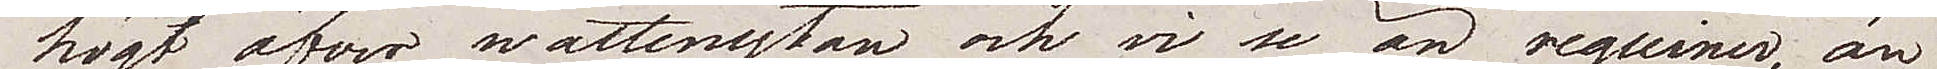högt öfver wattenytan och vi se än reguiner, än
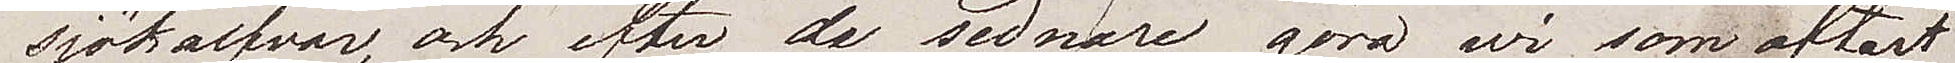sjökalfvar, och efter de sednare göra wi som oftast
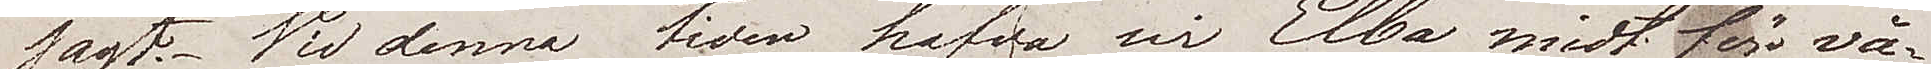jagt. Vid denna tiden hafva wi Elba midt för vå¬
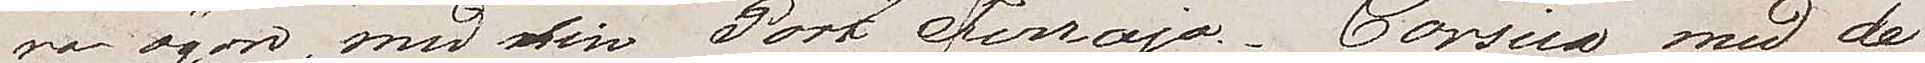ra ögon, med sin Port Ferrajo. Corsica med de
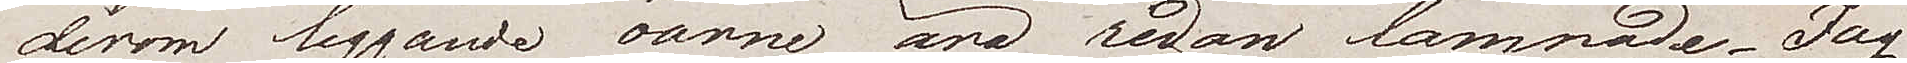derom liggande öarne äro redan lämnade. Jag
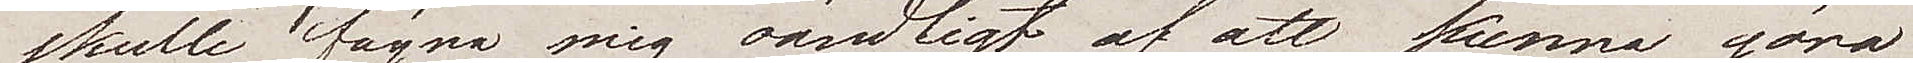skulle fägna mig oändligt af att kunna göra
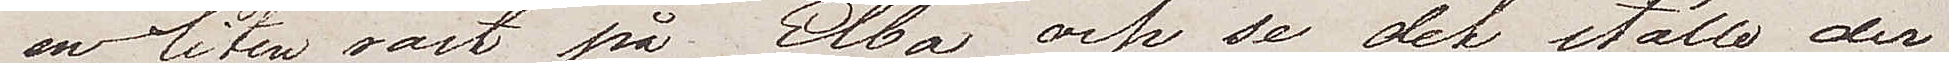en liten fart på Elba, och se det ställe der
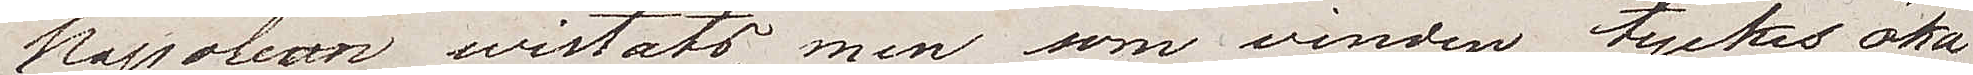Napoleon wistats, men som vinden tyckes öka
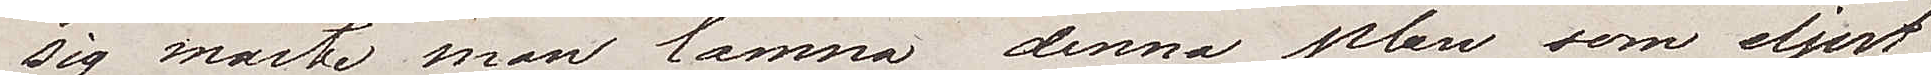sig måste man lämna denna plan som eljest
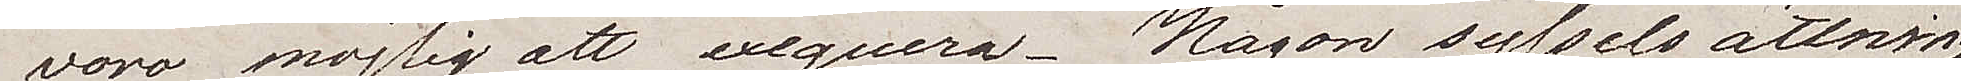vore möjlig att exeqvera. Någon sysselsättning
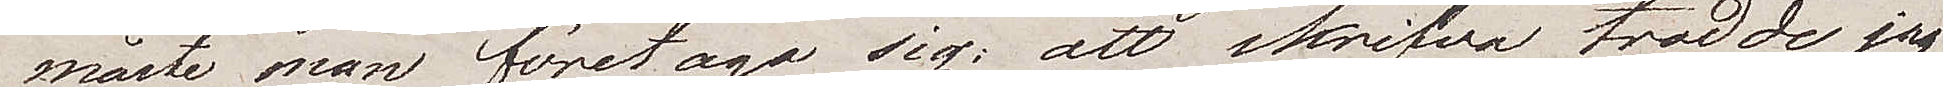måste man företaga sig; att skrifva trodde jag 
